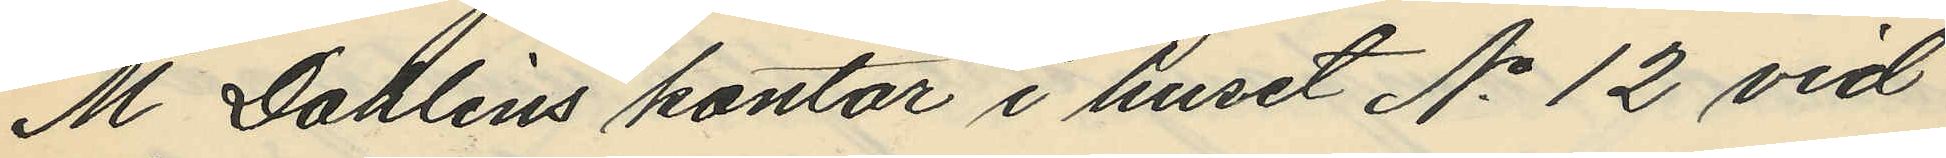M. Dahlins kontor i huset No 12 vid
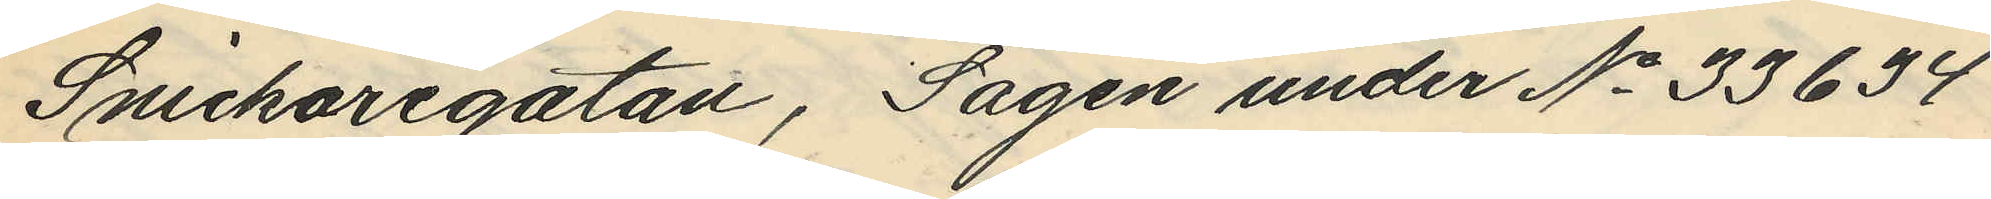Snickaregatan, Sågen under No 33634
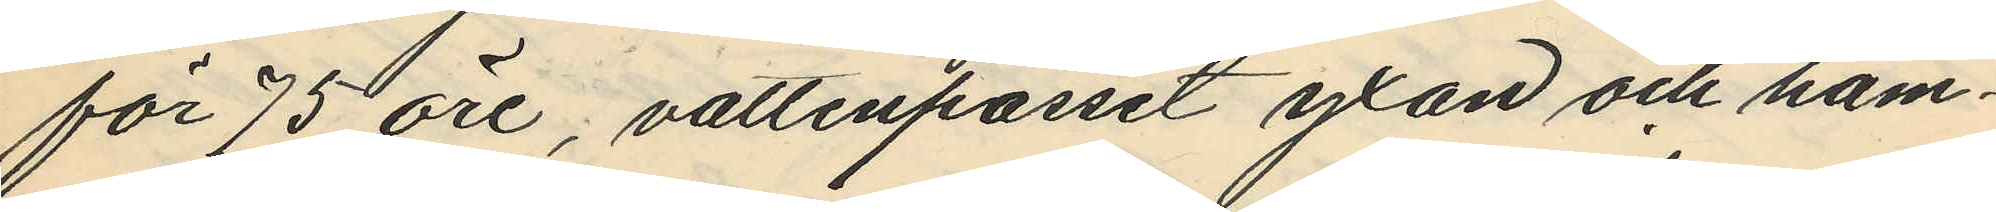för 75 öre, vattenpasset yxan och ham¬
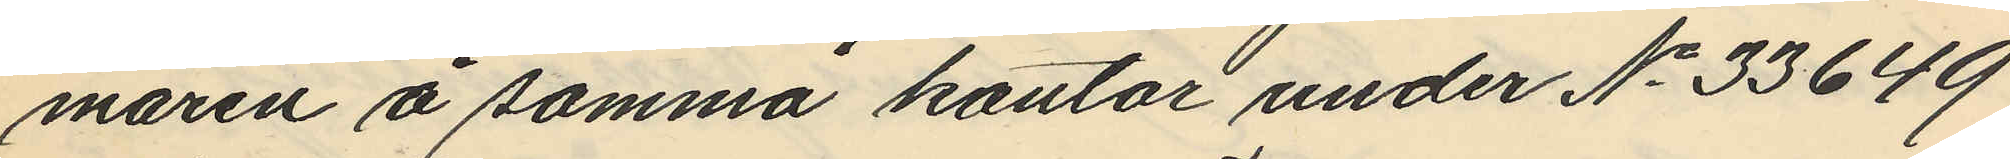maren å samma kontor under No 33649
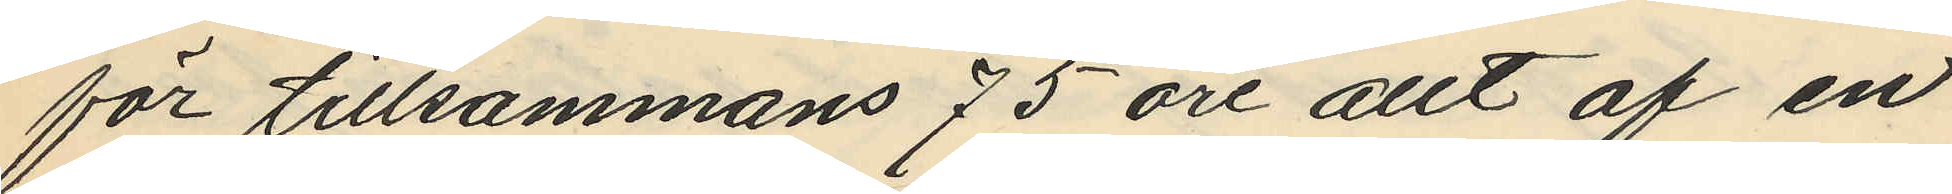för tillsammans 75 öre allt af en
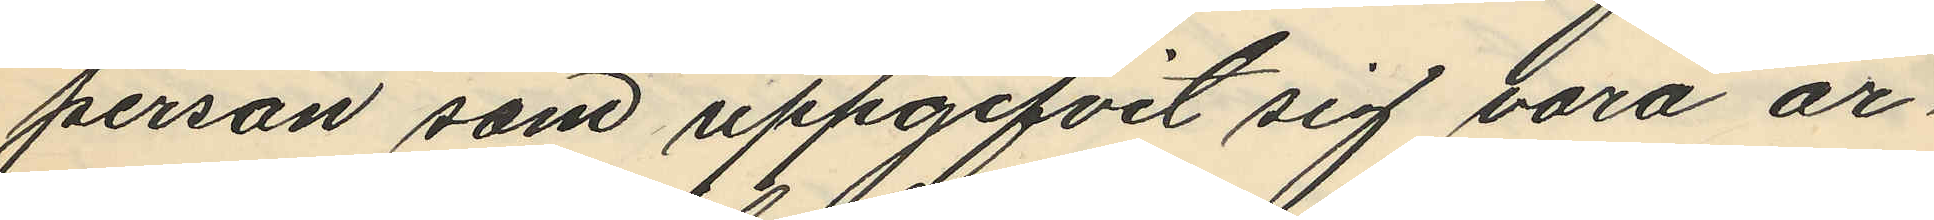person som uppgifvit sig vara ar
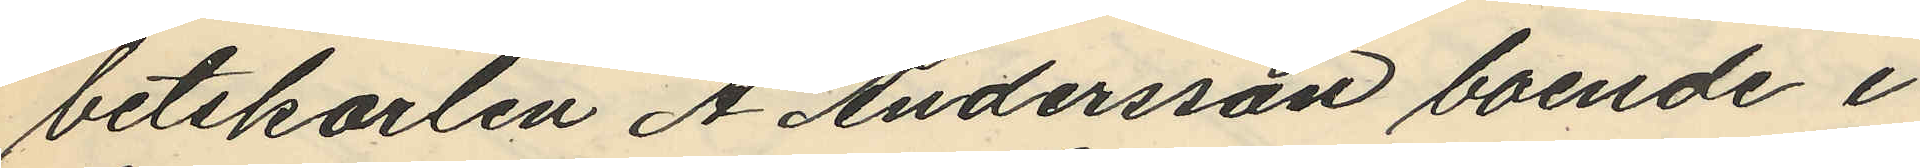betskarlen A. Andersson boende i
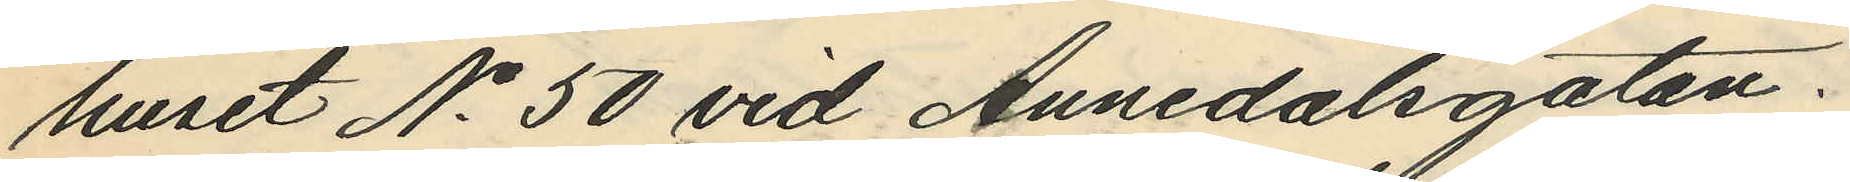huset No 50 vid Annedalsgatan.
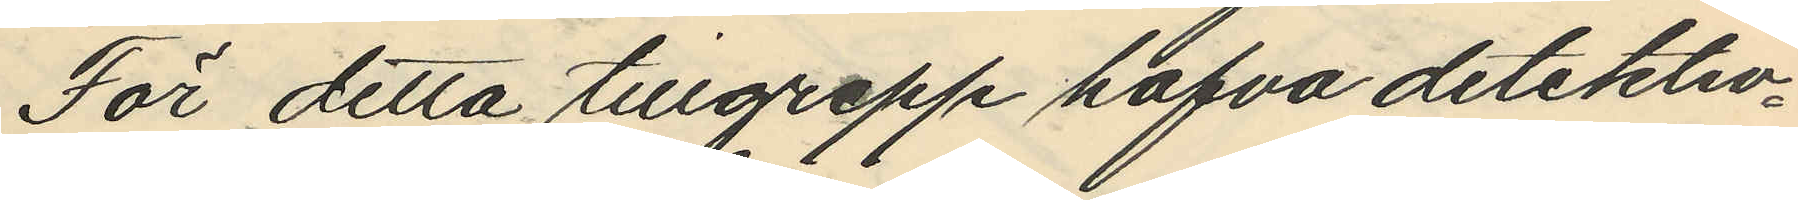För detta tillgrepp hafva detektiv¬
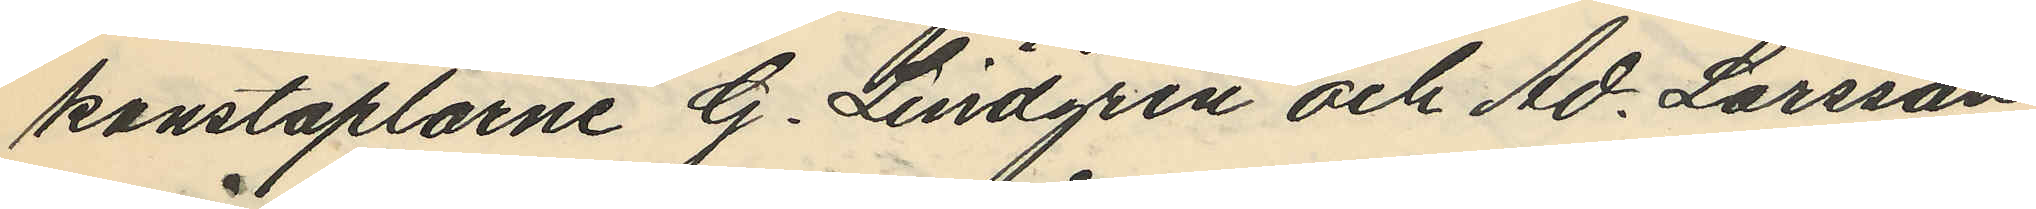konstaplarne G. Lindgren och Ad. Larsson
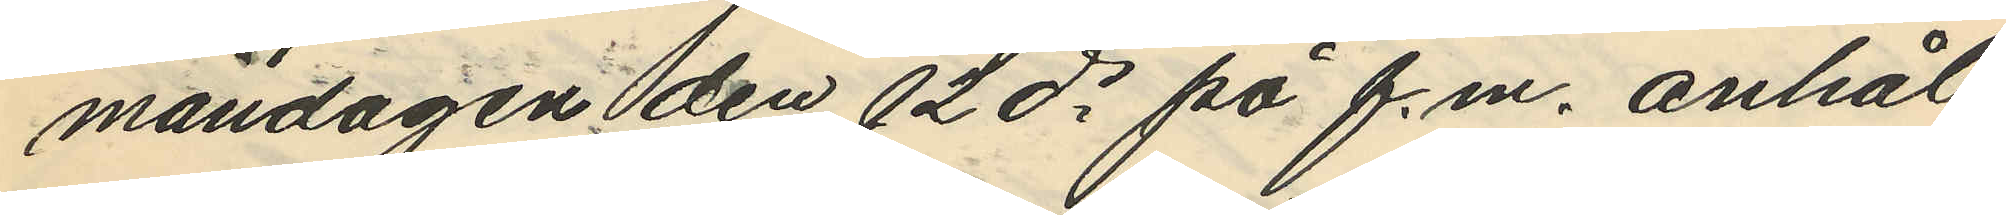måndagen den 12 ds på f.m. anhål¬
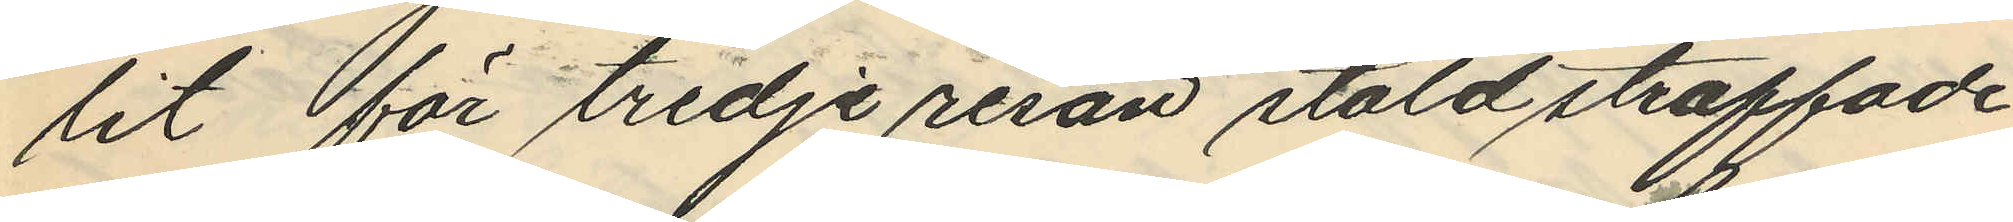lit för tredje resan stöld straffade
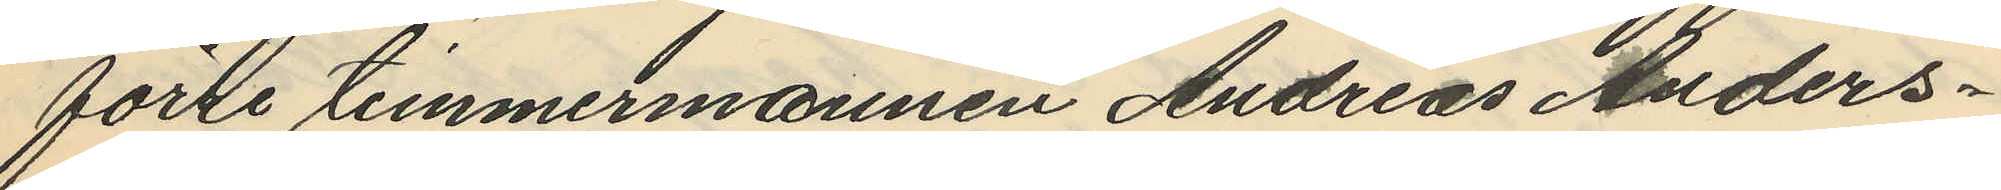förte timmermannen Andreas Anders¬
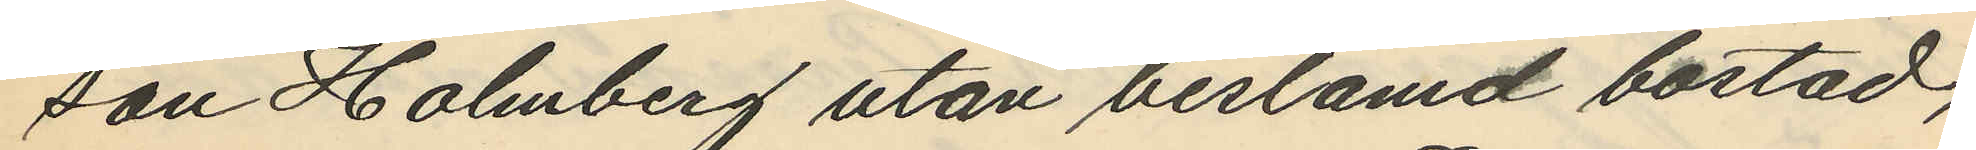son Holmberg utan beslamd bostad,
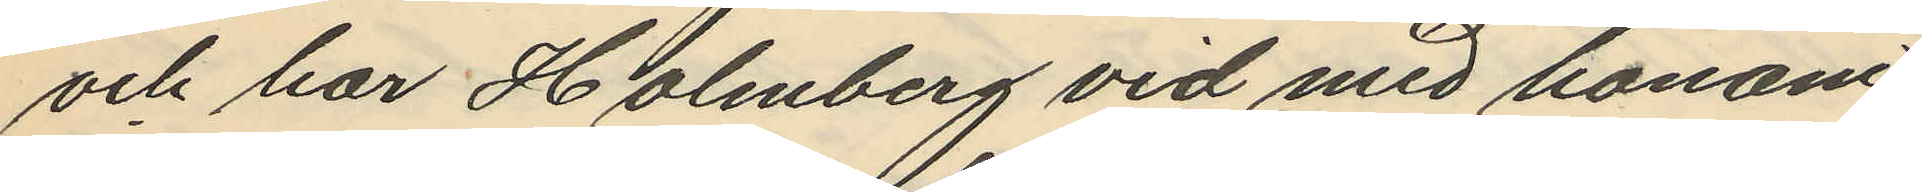och har Holmberg vid med honom
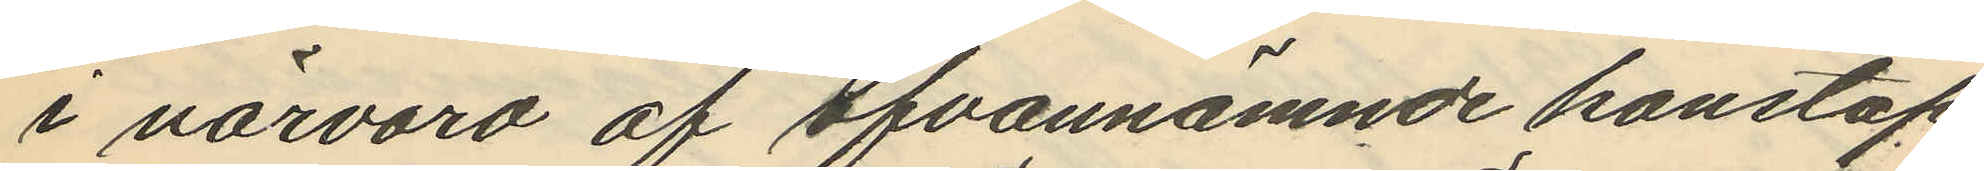i närvaro af ofvannämnde konstap¬
